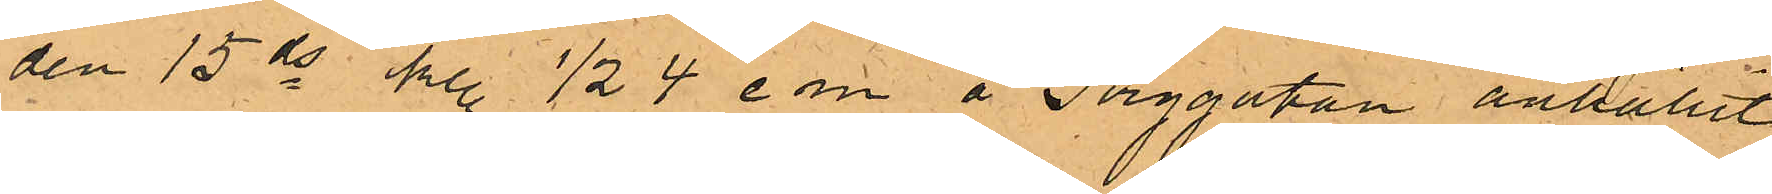den 15 ds kl. 1/2 4 em å Torggatan anhållit
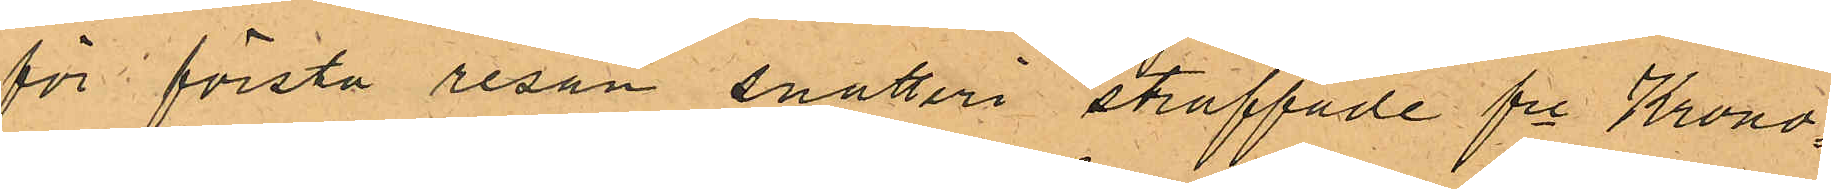för första resan snatteri straffade fre Krono¬
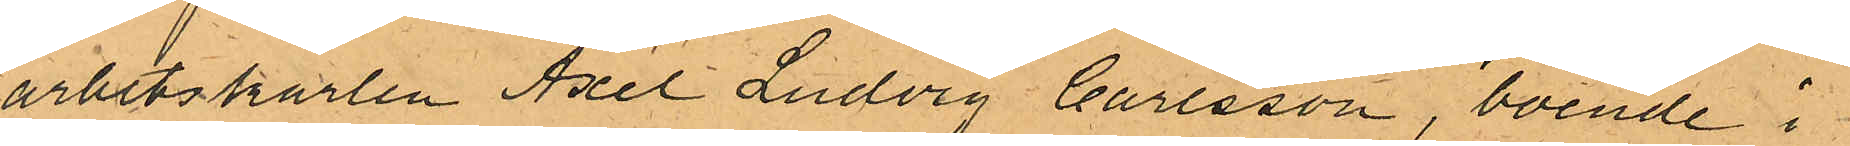arbetskarlen Axel Ludvig Carlsson, boende i
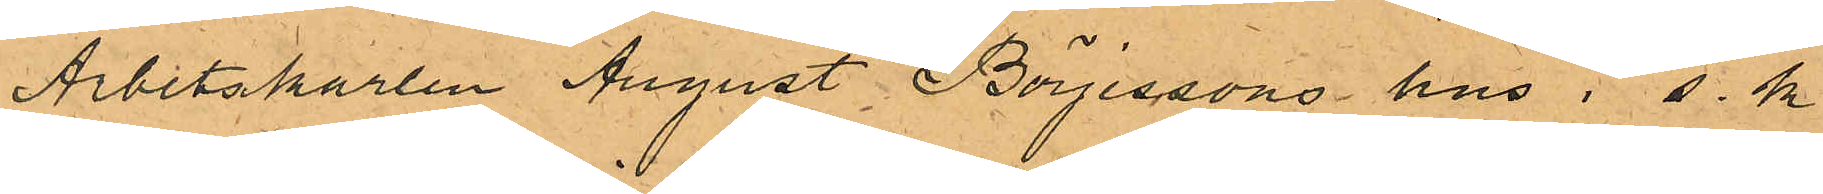Arbetskarlen August Börjessons hus i s.k.
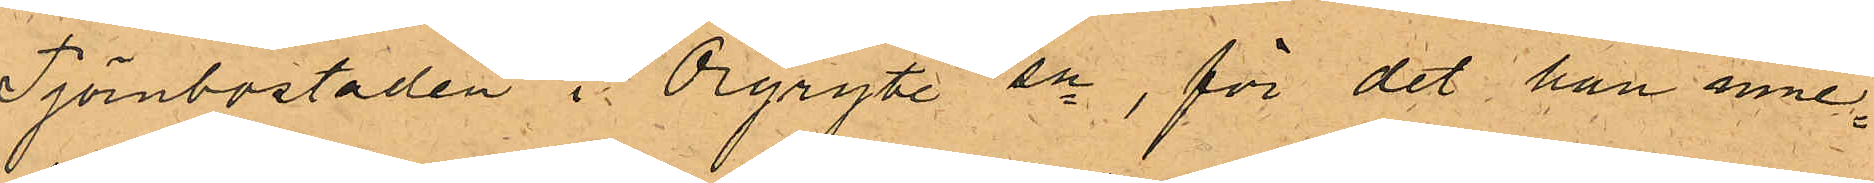Tjörnbostaden i Örgryte sn, för det han inne¬
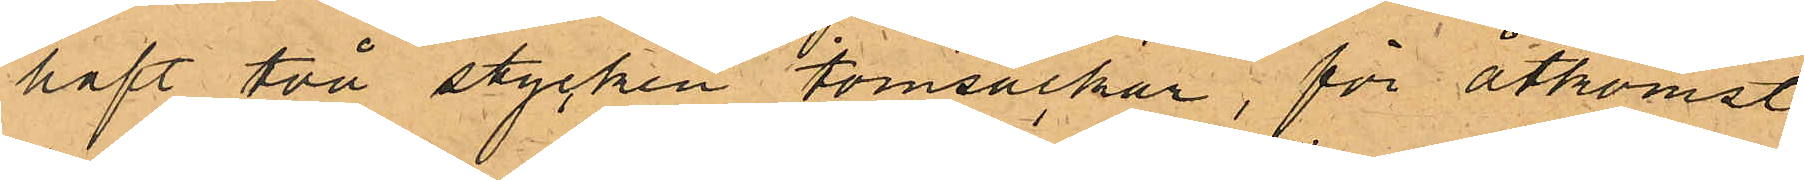haft två stycken tomsäckar; för åtkomst
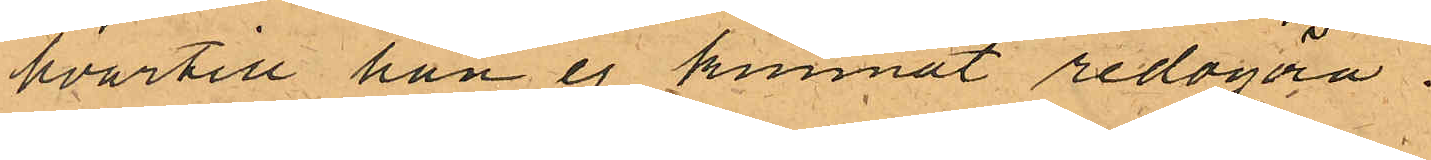hvartill han ej kunnat redogöra.
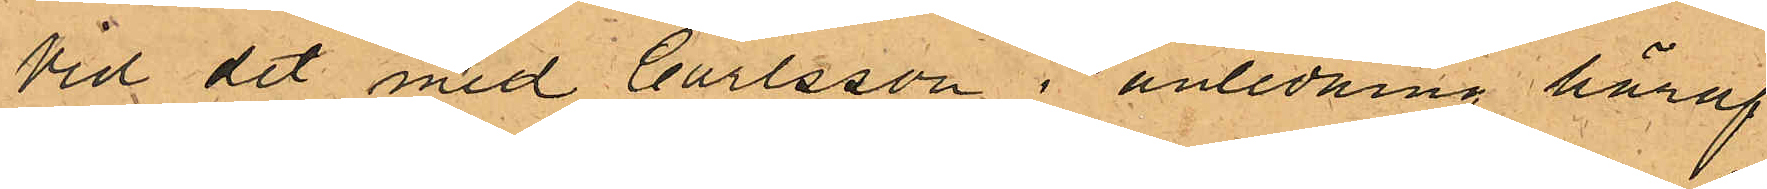Vid det med Carlsson i anledning häraf
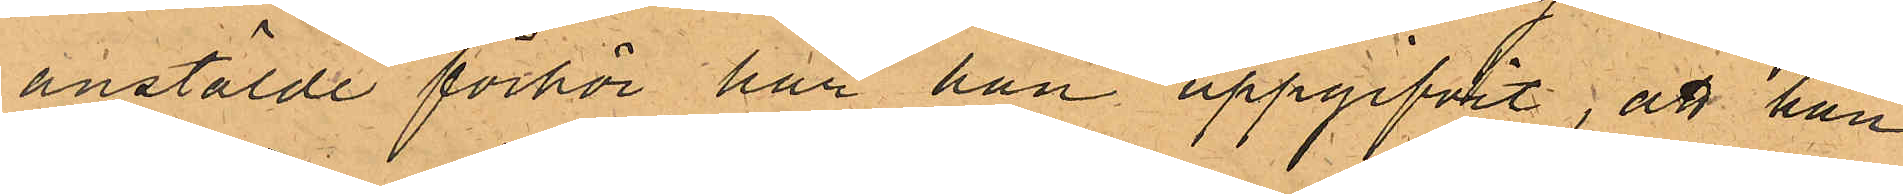anstälde förhör har han uppgifvit, att han
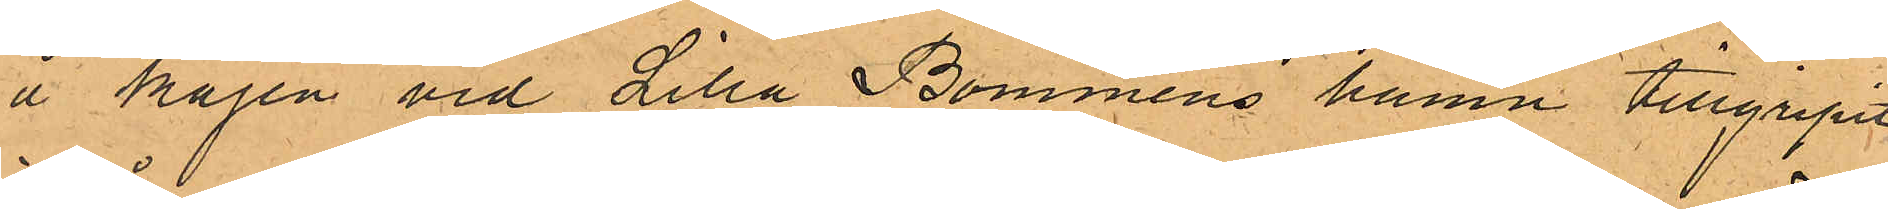å kajen vid Lilla Bommens hamn tillgripit
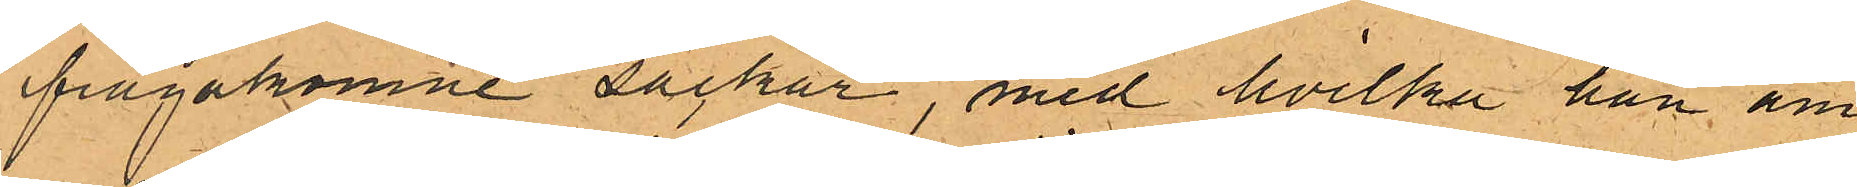frågakomne säckar, med hvilka han äm¬
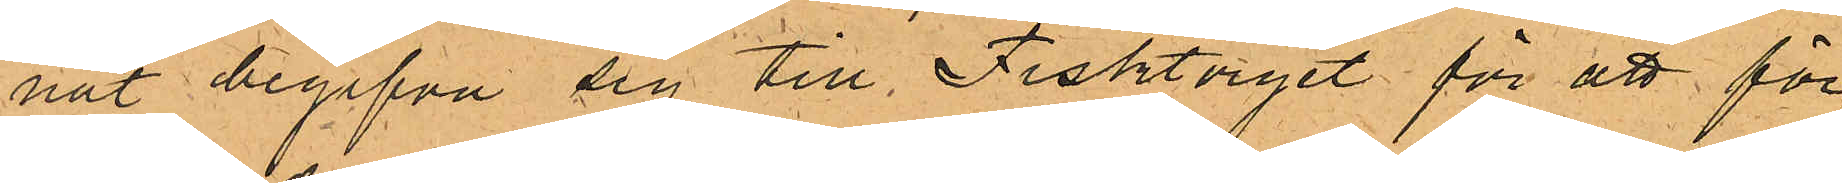nat begifva sig till Fisktorget för att för¬
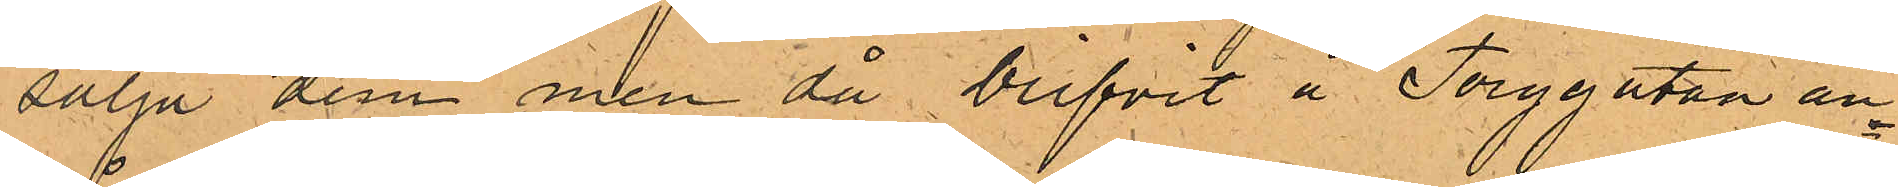sälja dem men då blifvit å Torggatan an¬
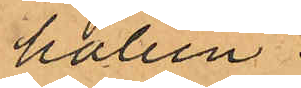hållen.
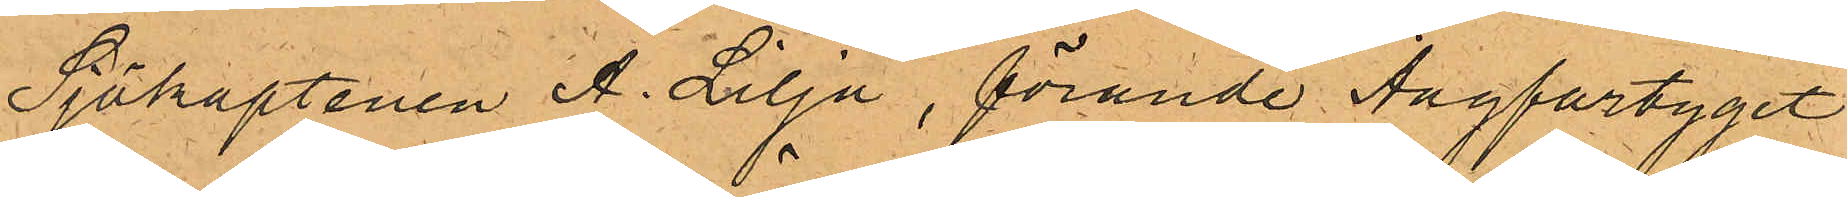Sjökaptenen A. Lilja, förande Ångfartyget
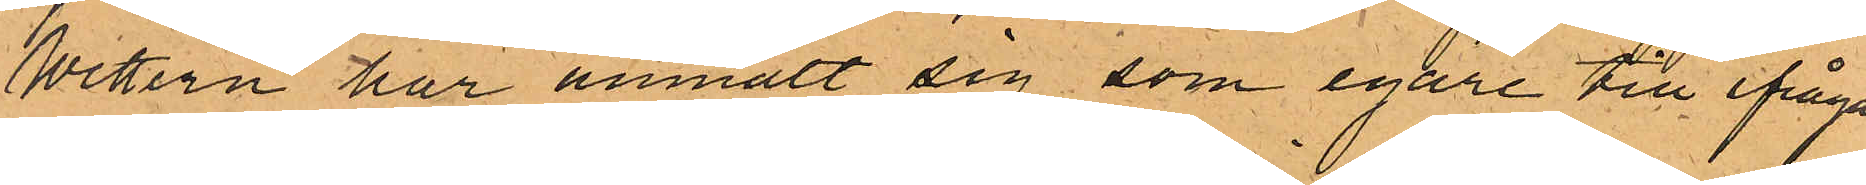Wettern har anmält sig som egare till ifråga¬
